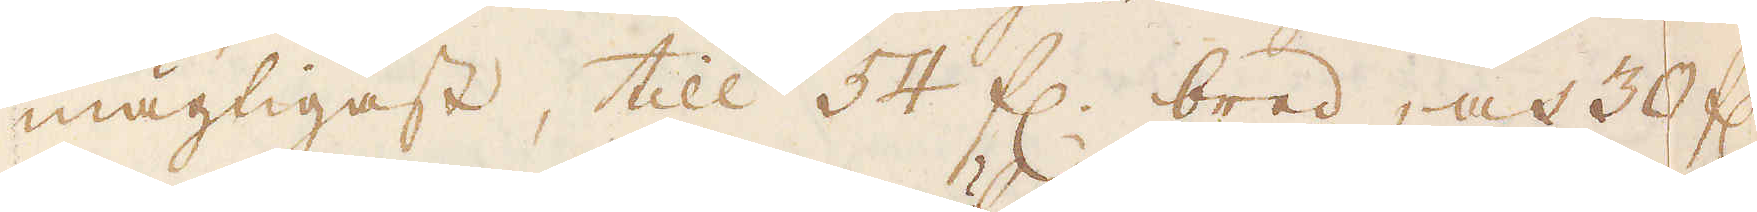mägtigast, till 54 f:r bred, och 30 f:r
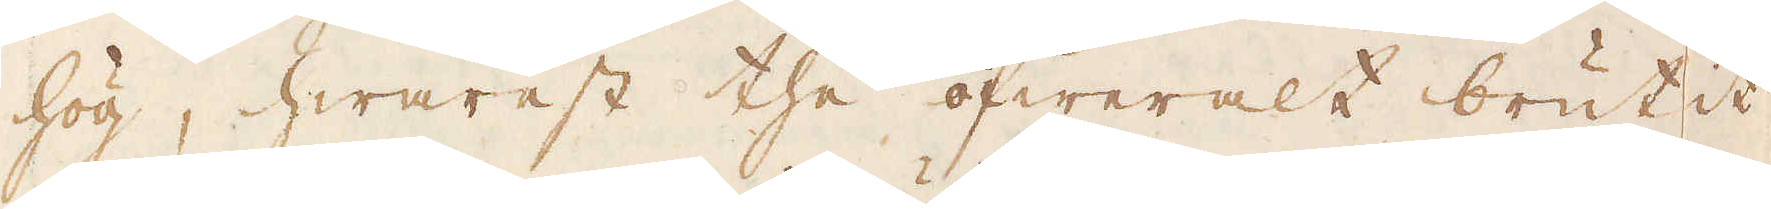hög, hwarest the öfweralt brutit
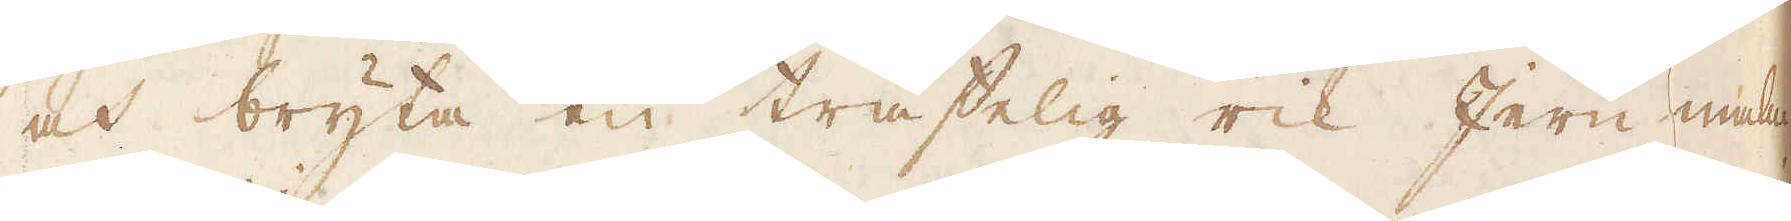och bryta en träffelig rik Jern malm.
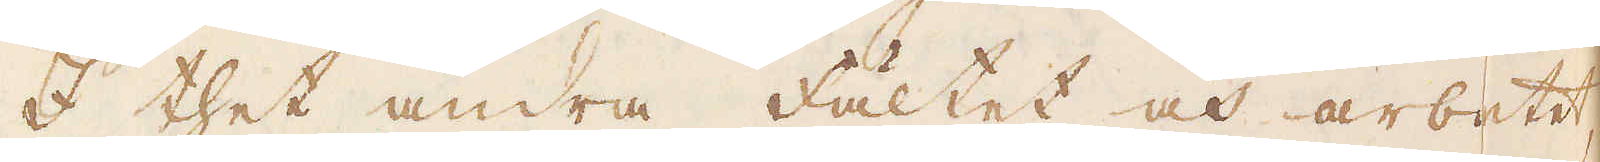I thet andra fältet och arbetet,
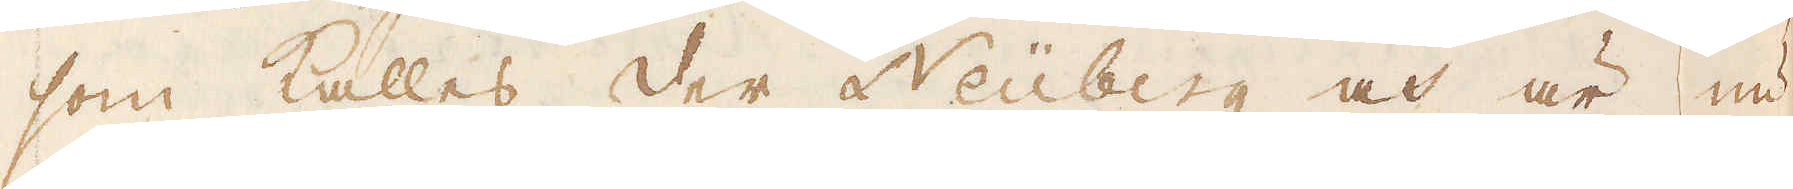som kallas der Neuberg och är nu
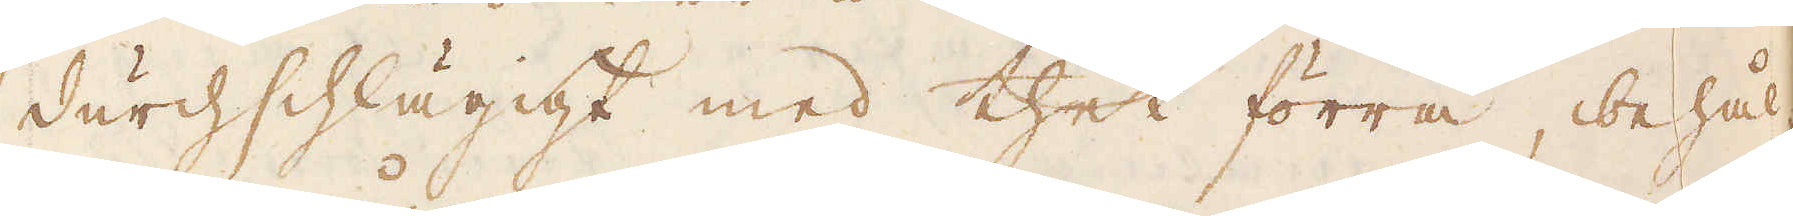durchschlägigt med thet förra, behål-
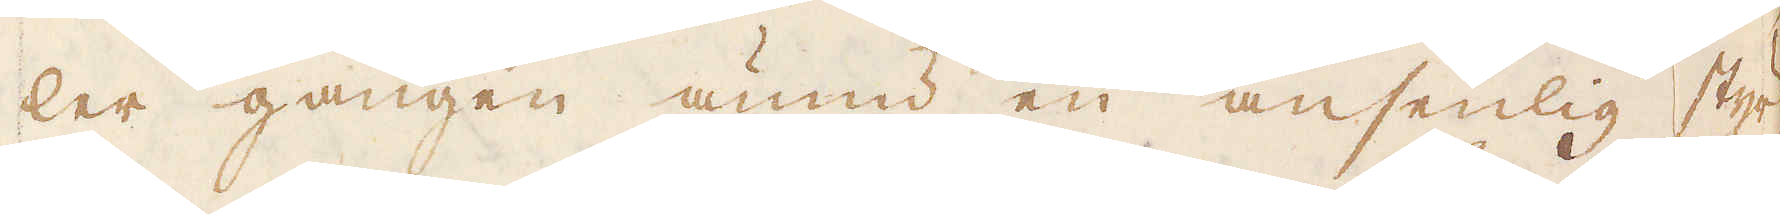ler gången ännu en ansenlig styr-
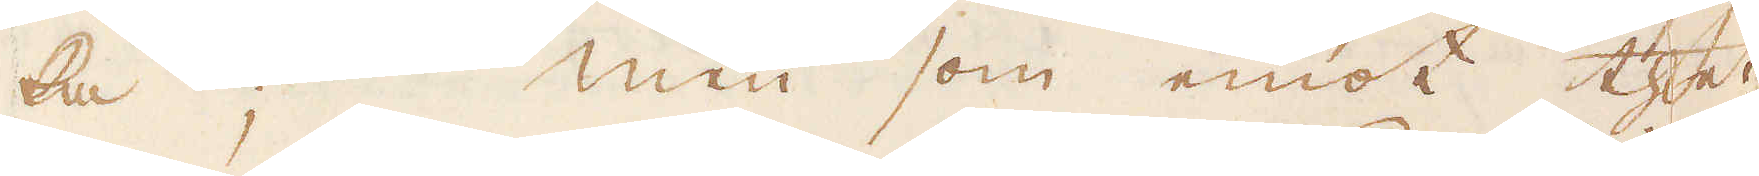ka; men som emot thet
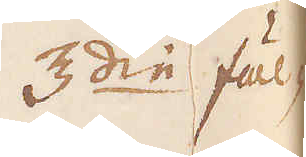3:die fäl-
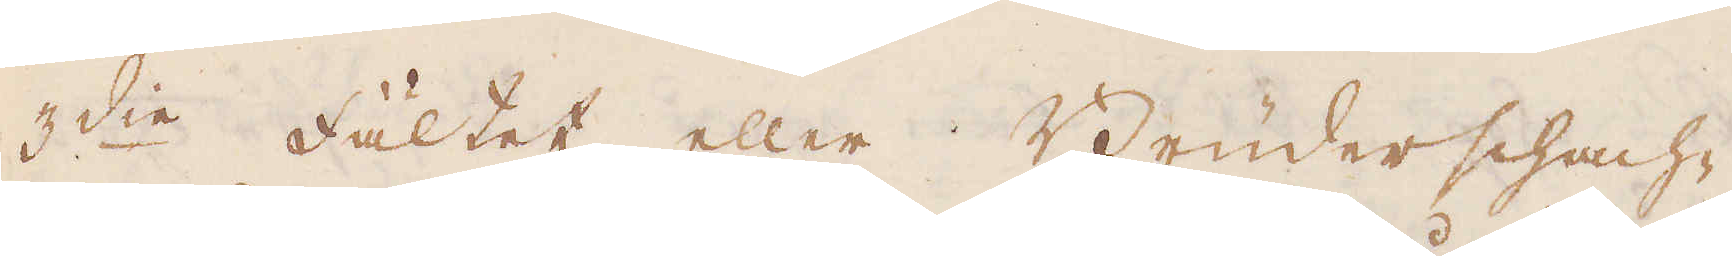3:die Fältet eller Bruderschach-
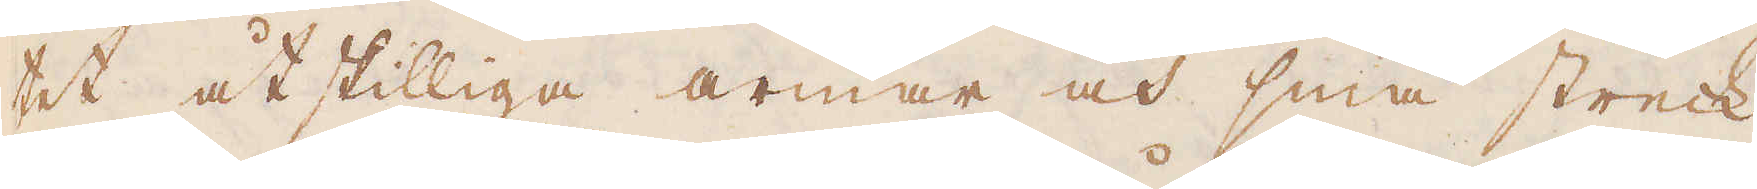tet åtskilliga armar och små streck
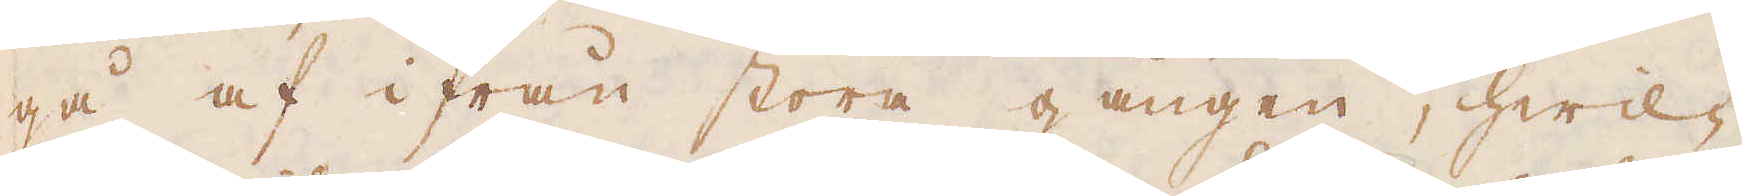gå af ifrån stora gången, hwil-
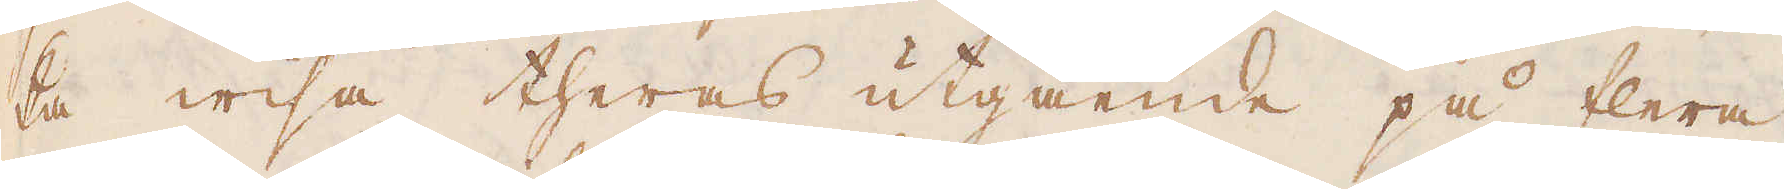ka wisa theras utgående på flera
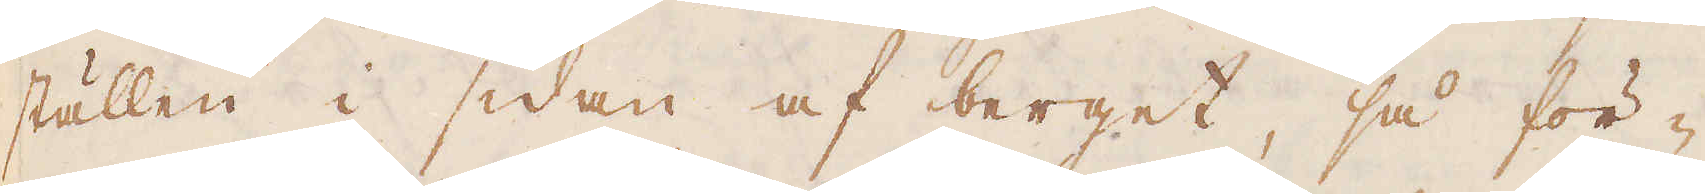ställen i sidan af berget, så för-
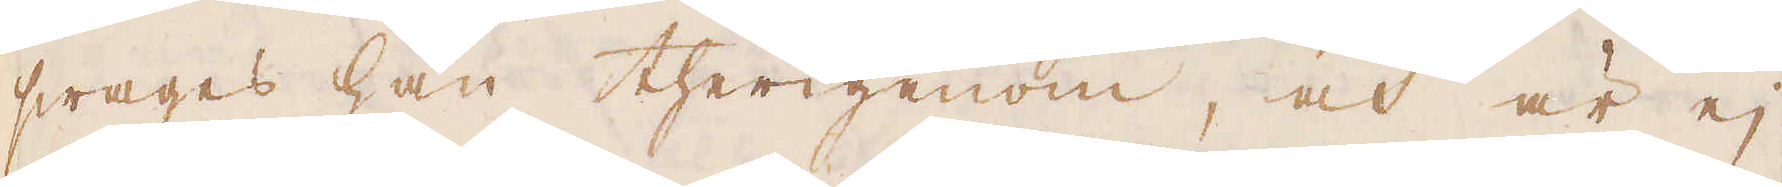swages han therigenom, och är ej
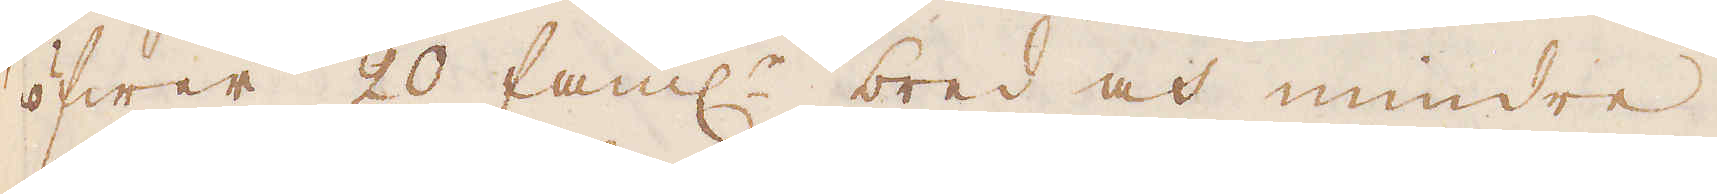öfwer 20 fam:r bred och mindre,
